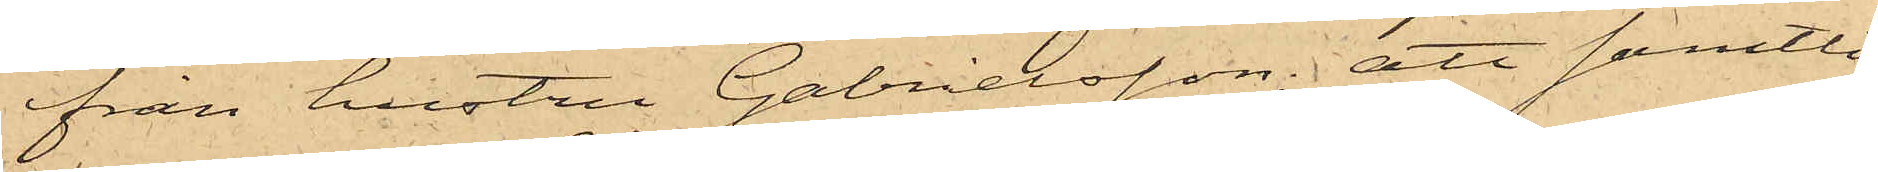från hustru Gabrielsson; att samtli¬
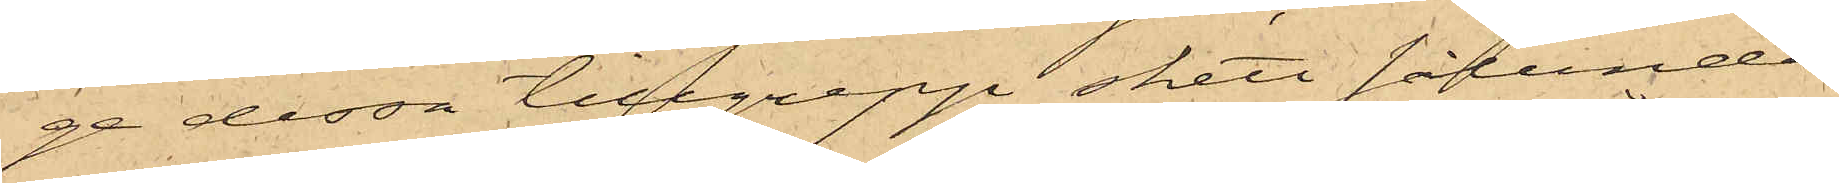ge dessa tillgrepp skett sålunda
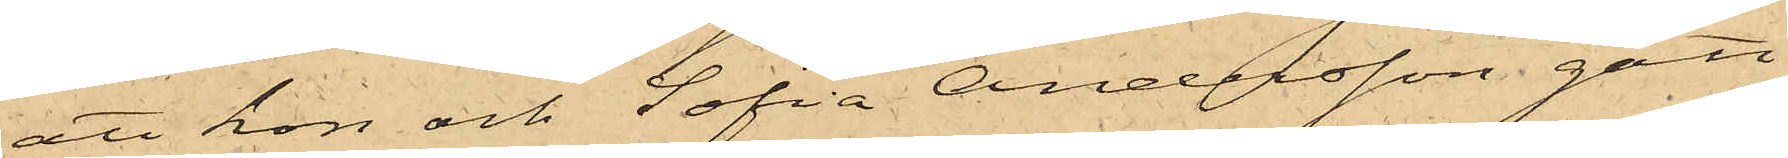att hon och Sofia Andersson gått
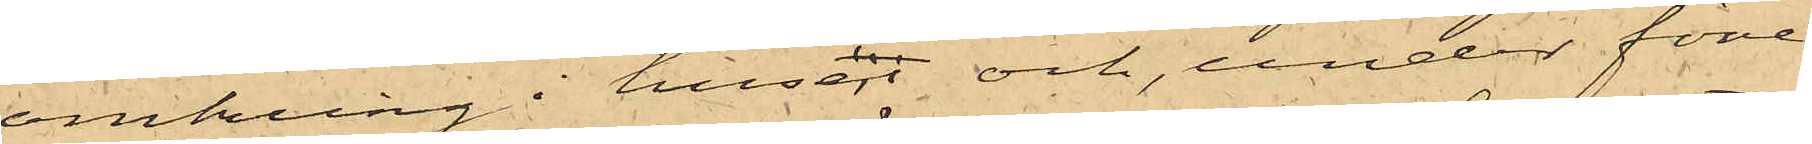omkring i husen och, under före¬
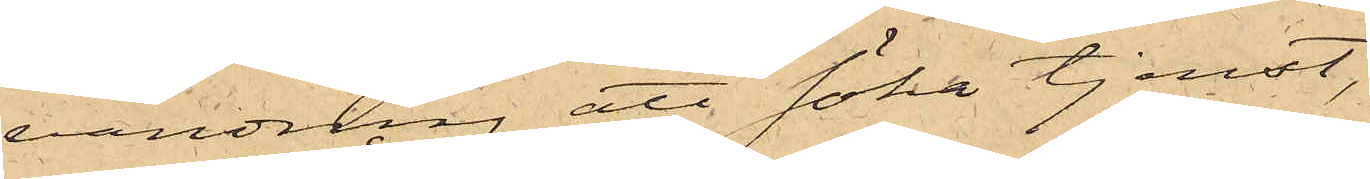vändning att söka tjenst,
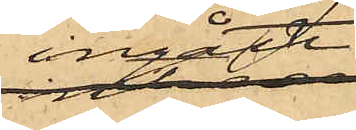ingått i
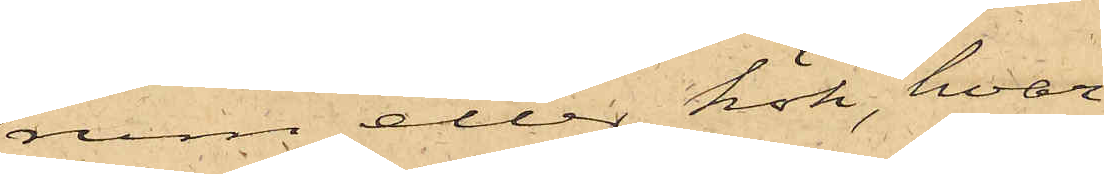rum eller kök, hvar¬
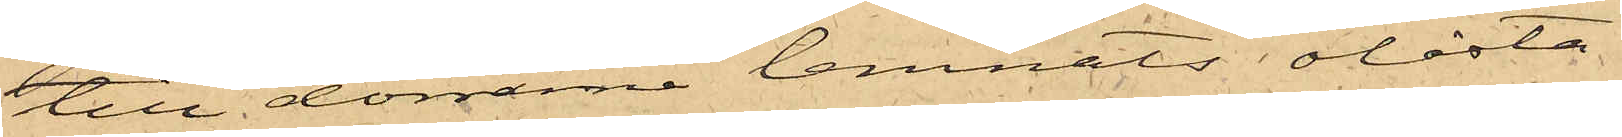till dörrarne lemnats olåsta
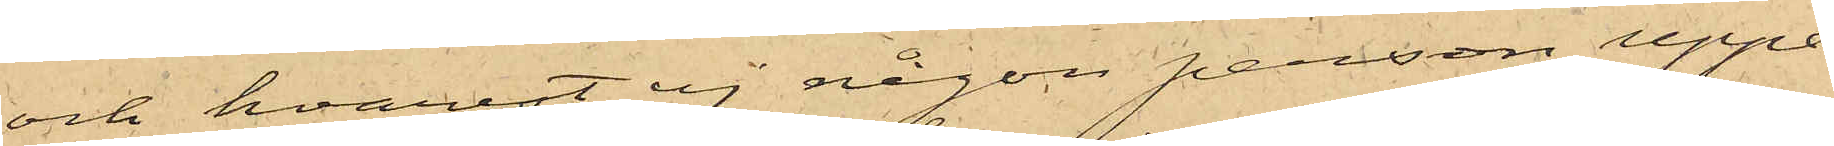och hvarest ej någon person uppe¬
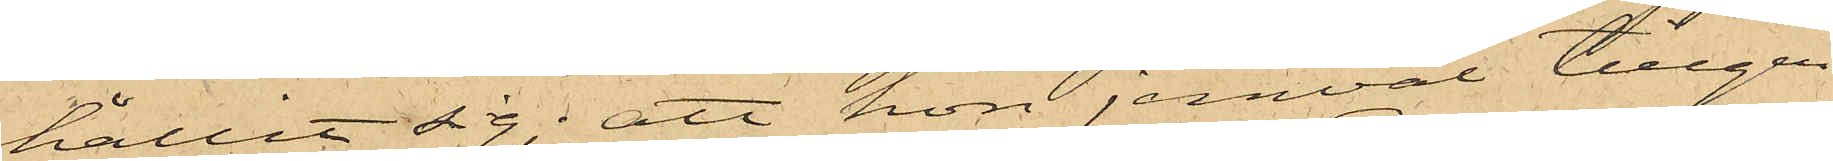hållit sig; att hon jemväl tillgri¬
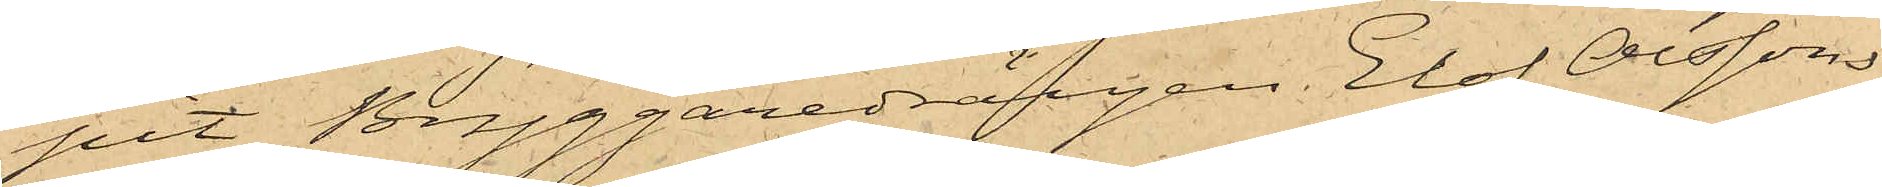pit Bryggaredrängen Elof Olsson
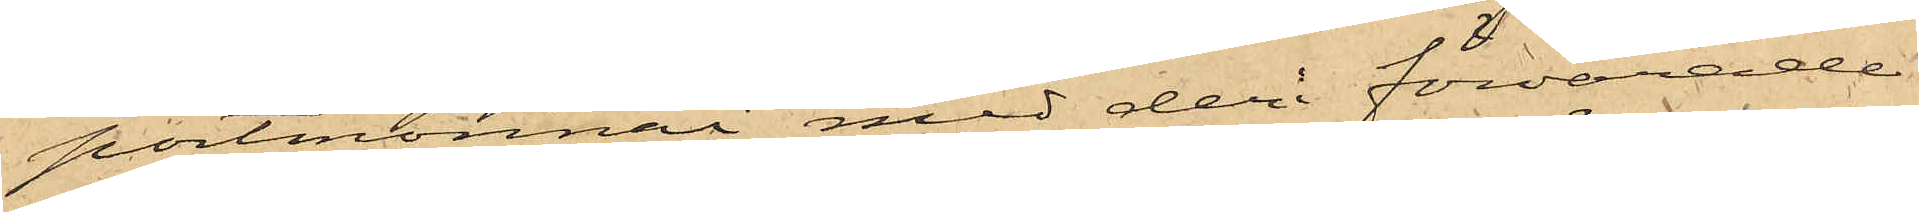portmonnai med deri förvarade
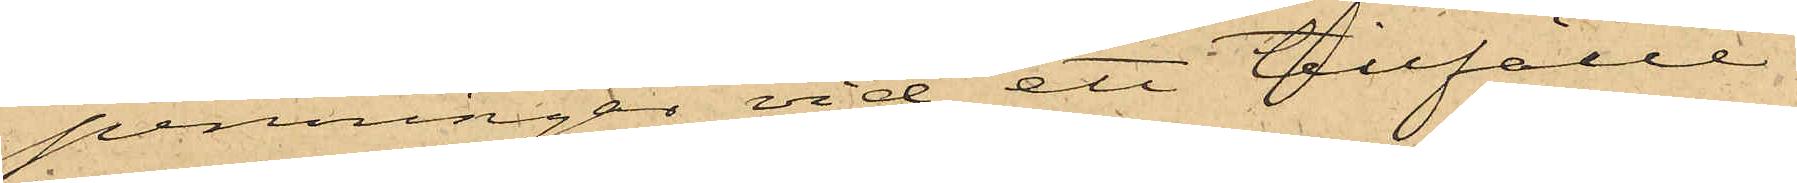penningar vid ett tillfälle
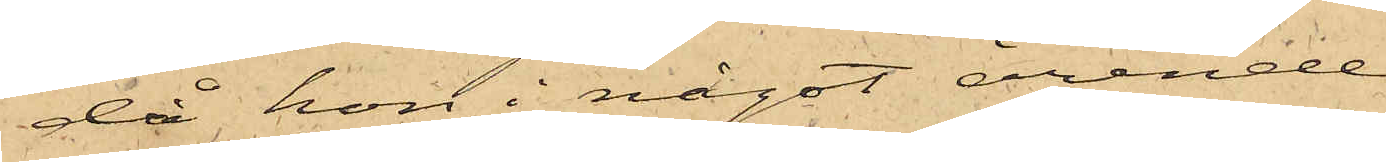då hon i något ärende
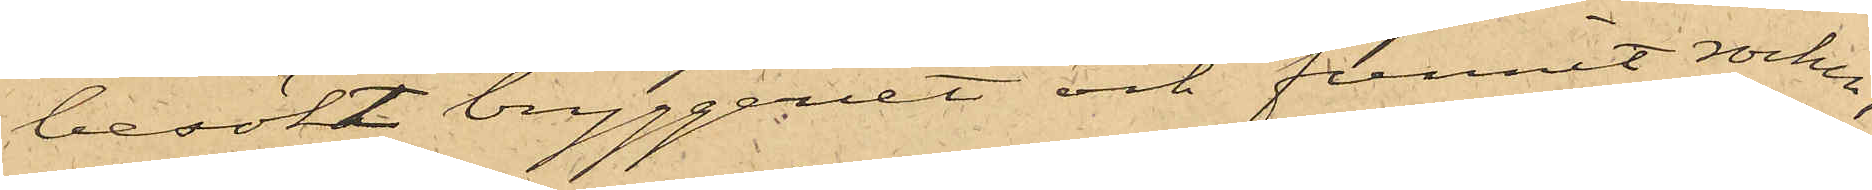besökt bryggeriet och funnit rocken,
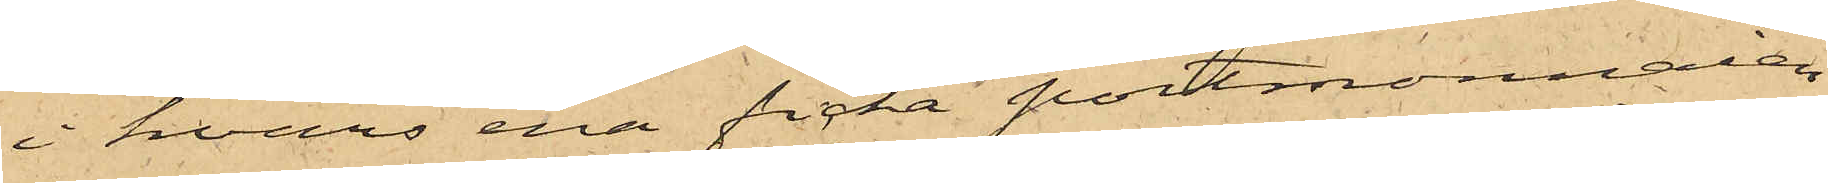i hvars ena ficka portmonnaien
